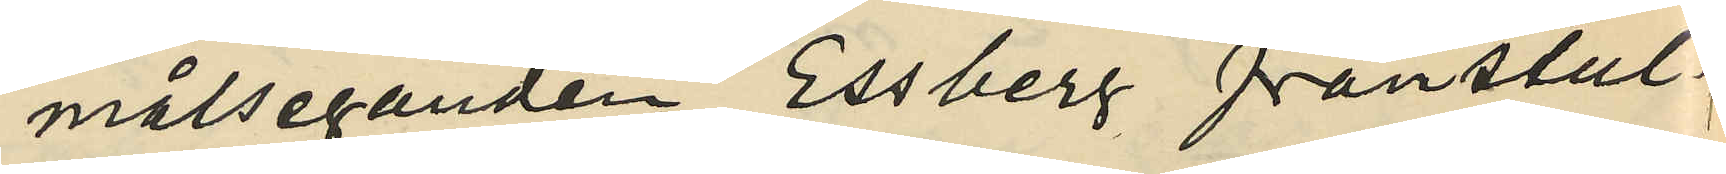målseganden Essberg frånstul¬
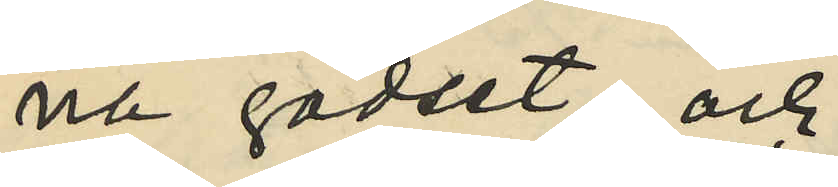na godset, och
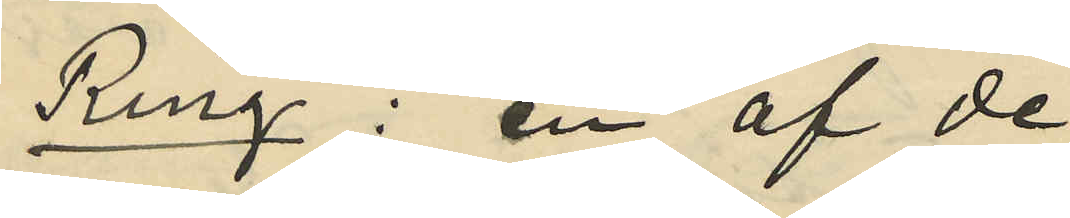Ring: en af de
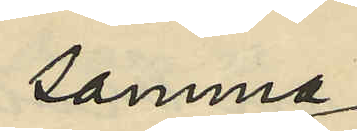samma
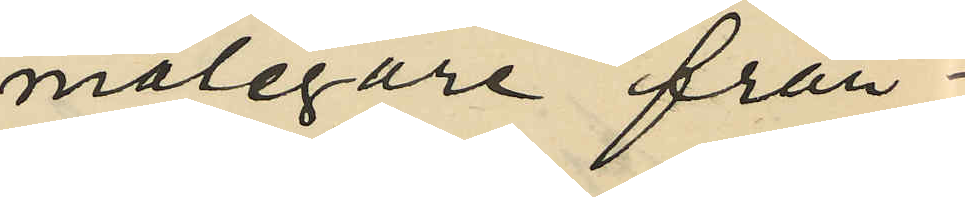målegare från¬
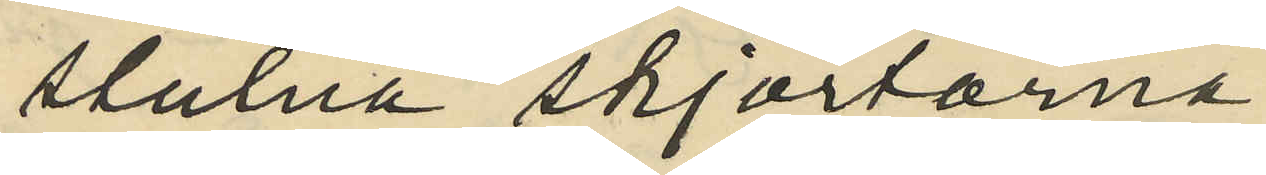stulna skjortorna.
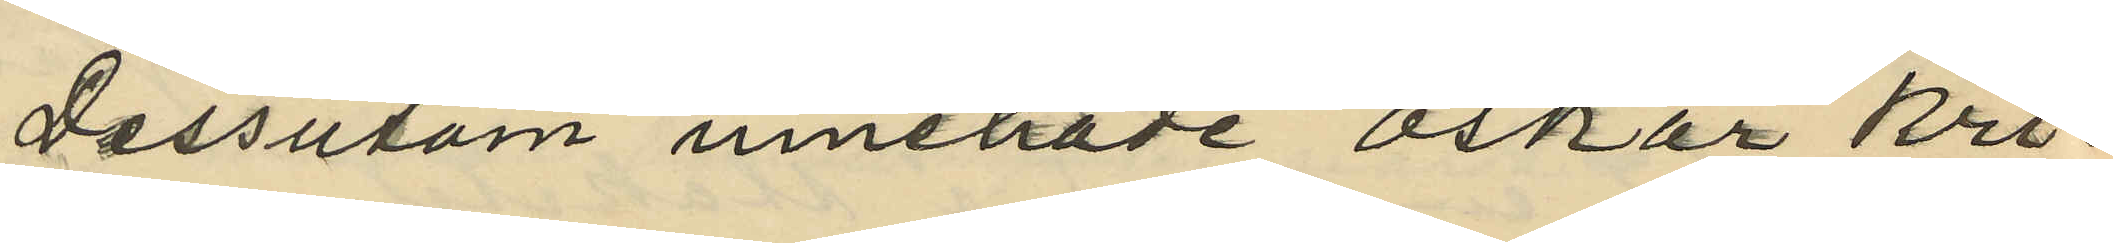Dessutom innehade Oskar Kri¬
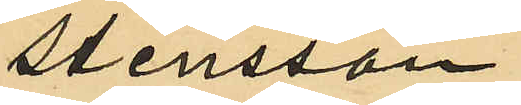stensson
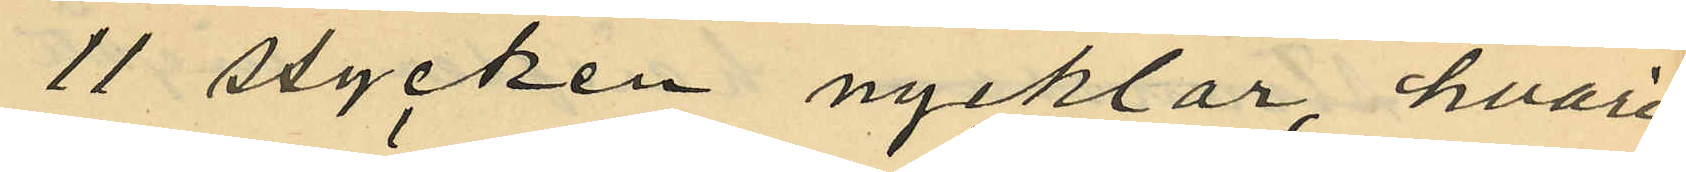11 stycken nycklar, hvari¬
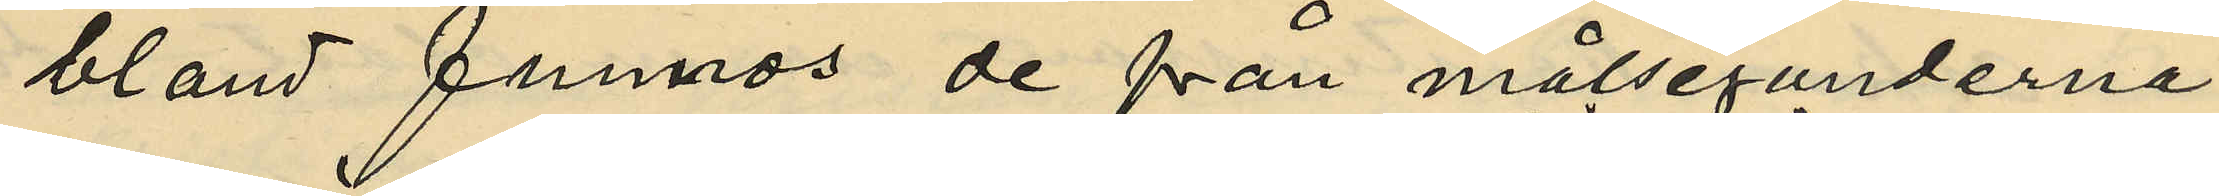bland funnos de från målseganderna
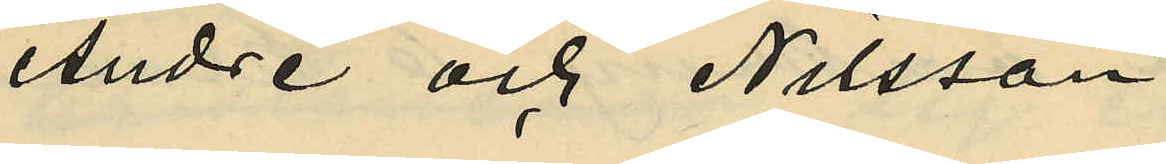André och Nilsson
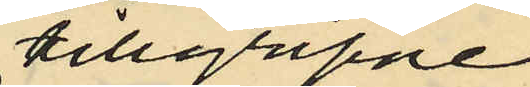tillgripne
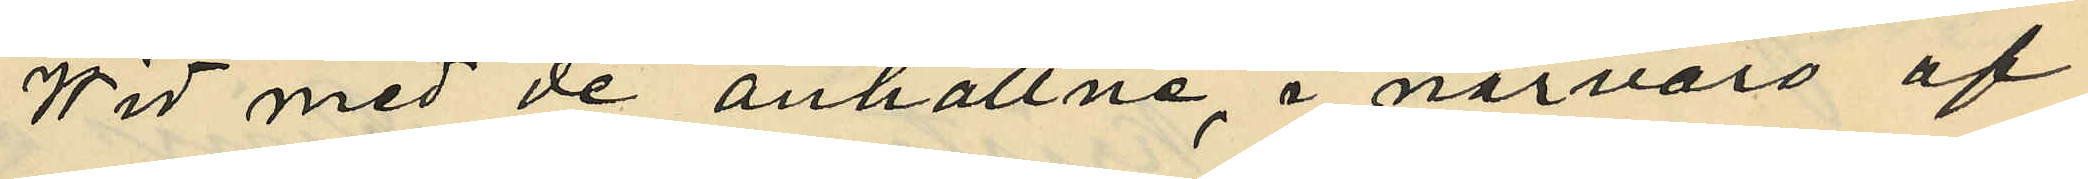Wid med de anhållne, i närvaro af
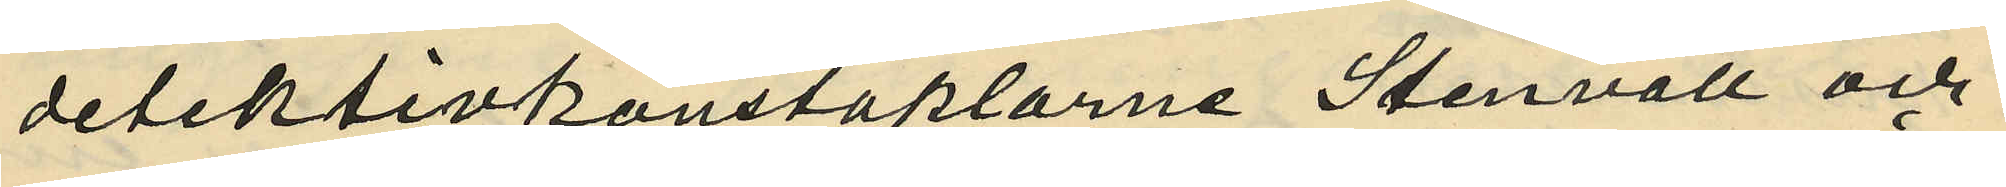detektivkonstaplarne Stenvall och
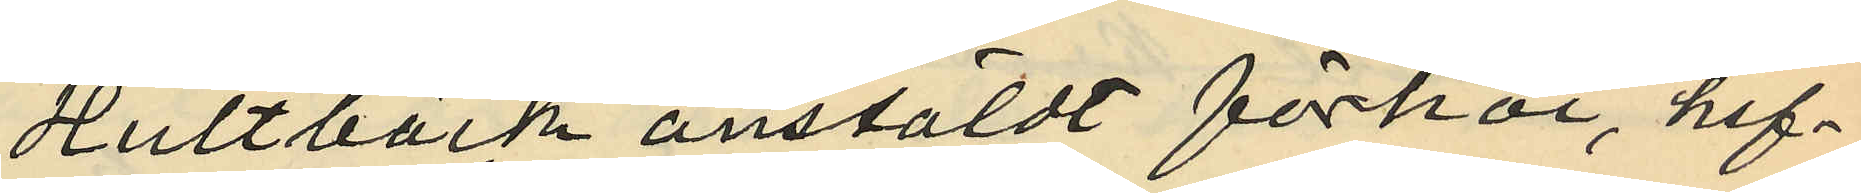Hultbäck anstäldt förhör, haf¬
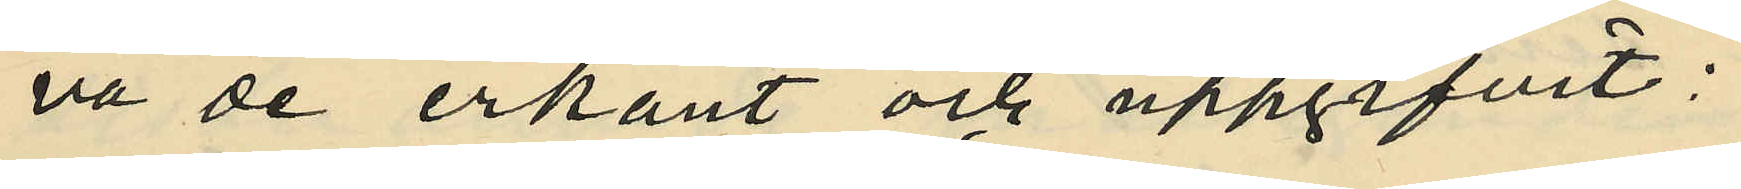va de erkänt och uppgifvit:
